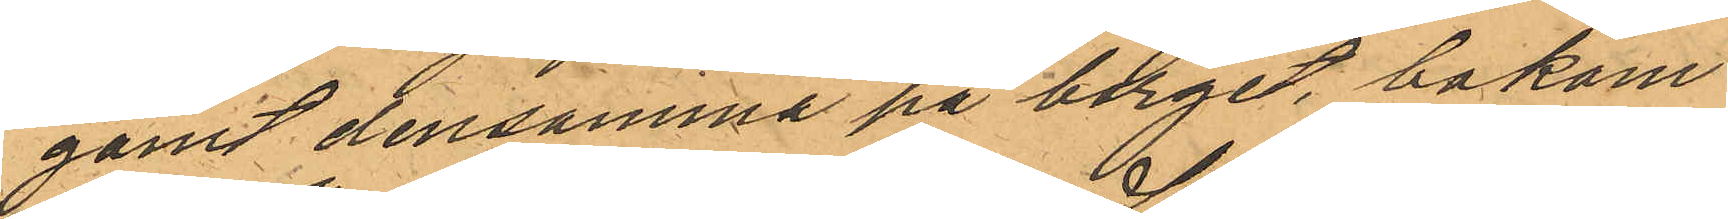gömt densamma på berget, bakom
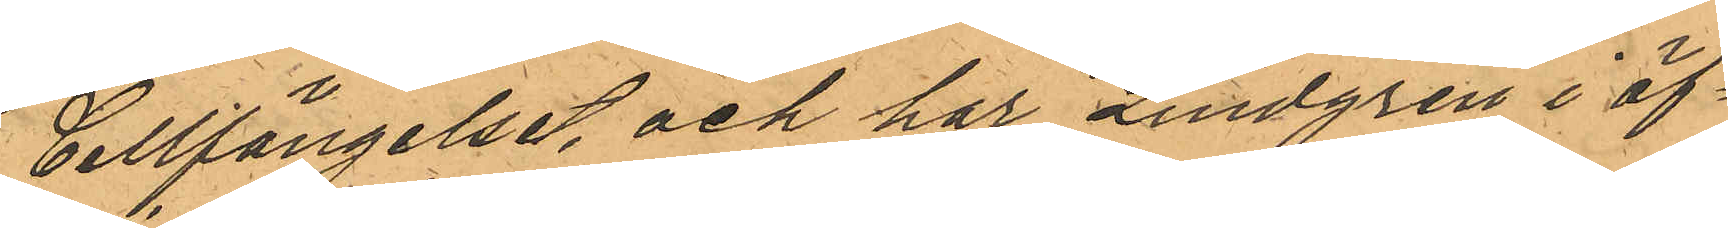Cellfängelset, och har Lindgren i öf¬
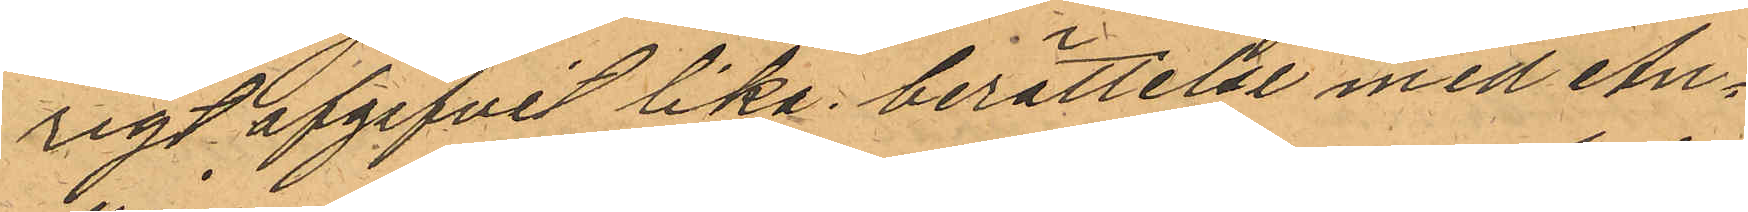rigt afgifvit lika berättelse med An¬
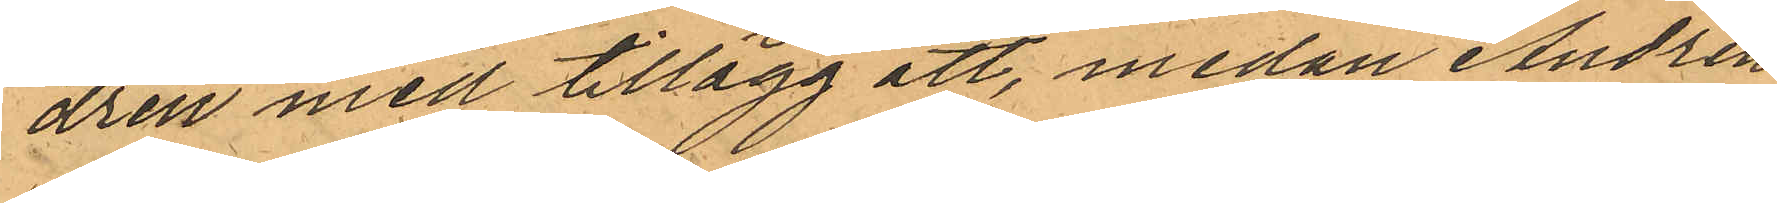dren med tillägg att, medan Andrén
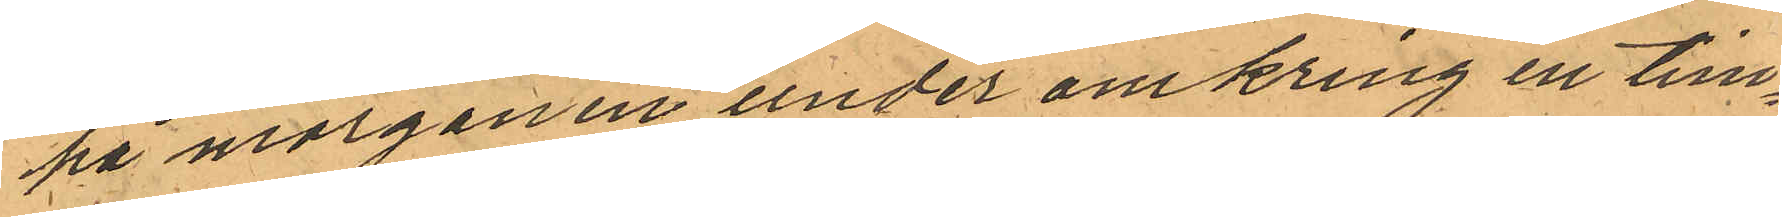ka morgonen under omkring en tim¬
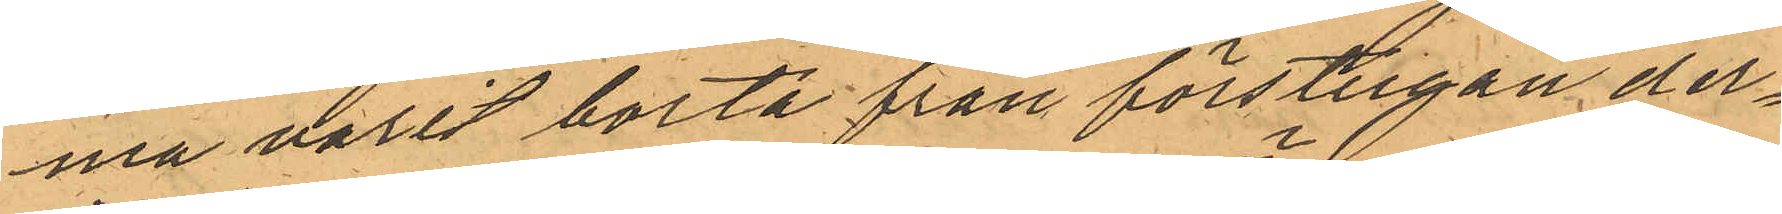na varit borta från förstugan der¬
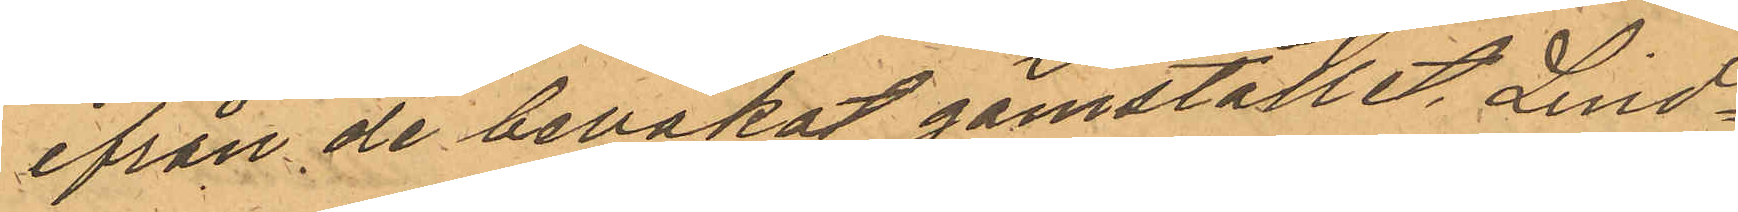ifrån de bevakat gömstället, Lind¬
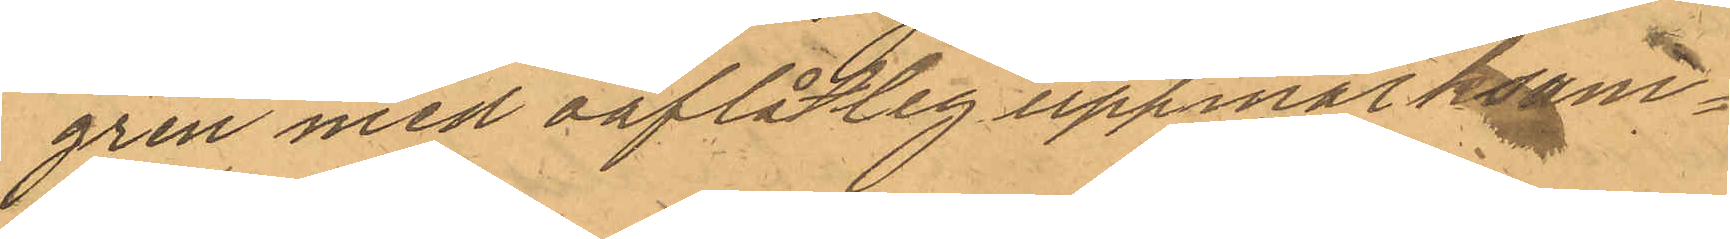gren med oaflåtlig uppmärksam¬ 
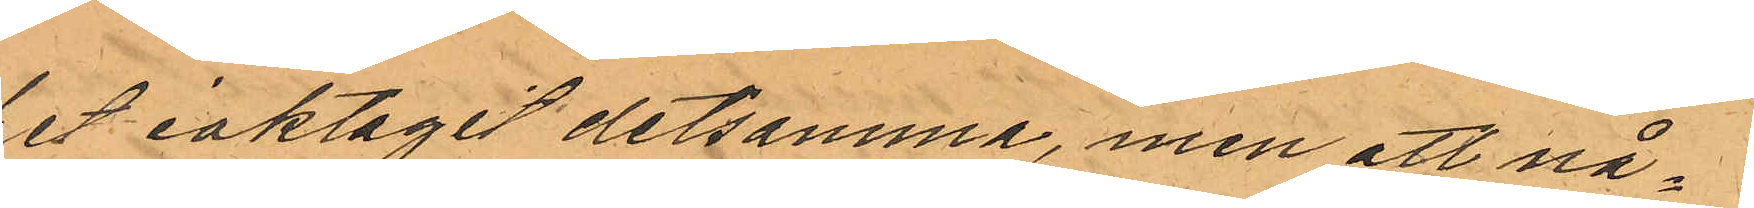het iaktagit detsamma, men att nå¬
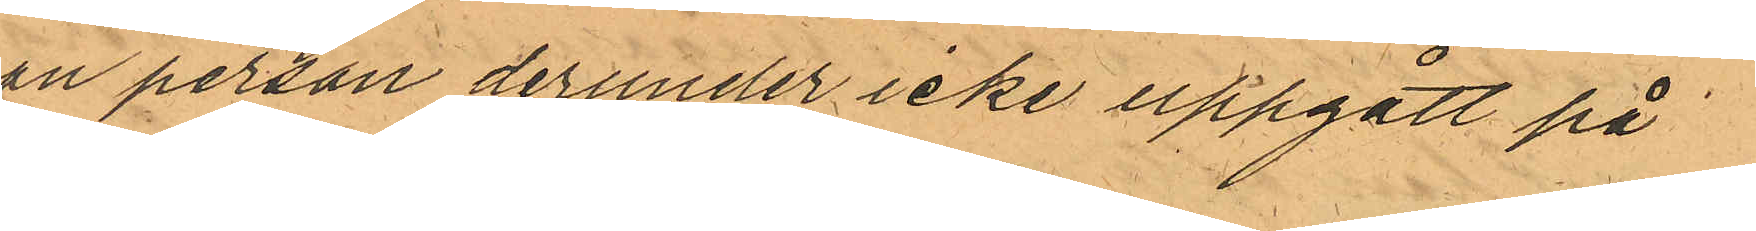gon person derunder icke uppgått på
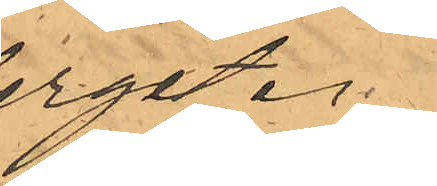berget.
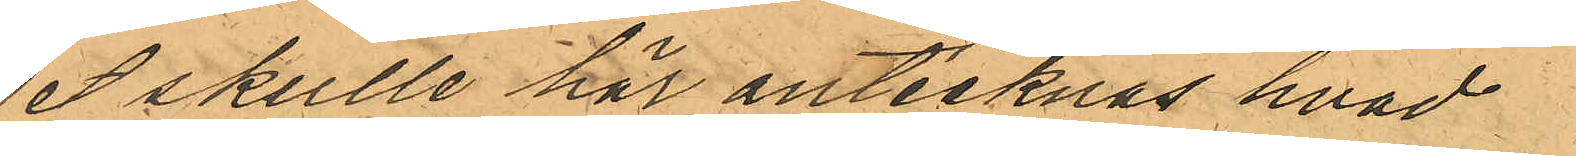Det skulle här antecknas hvad
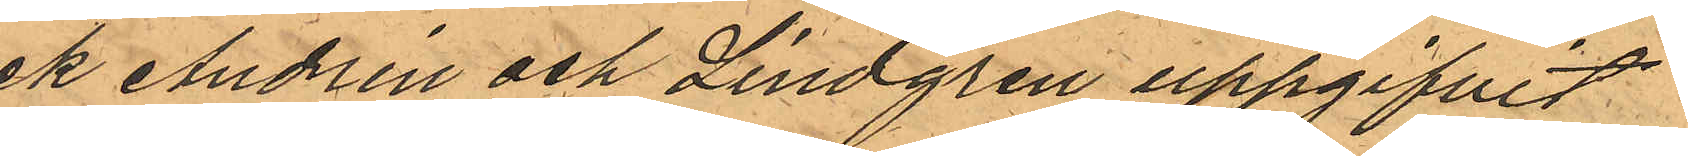ock Andrén och Lindgren uppgifvit
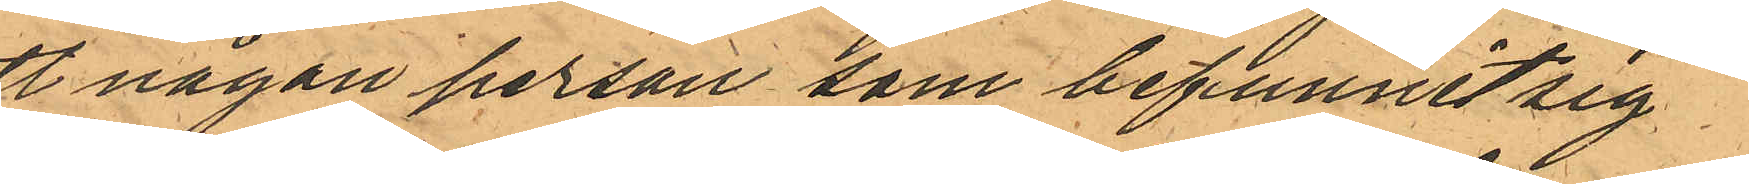att någon person som befunnit sig
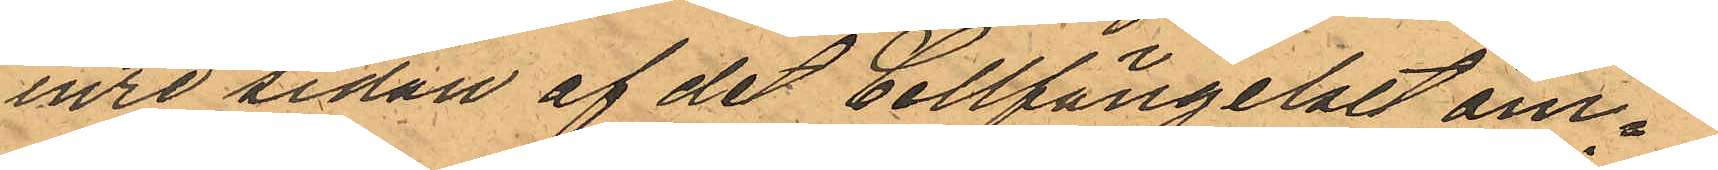å inre sidan af det Cellfängelset om¬
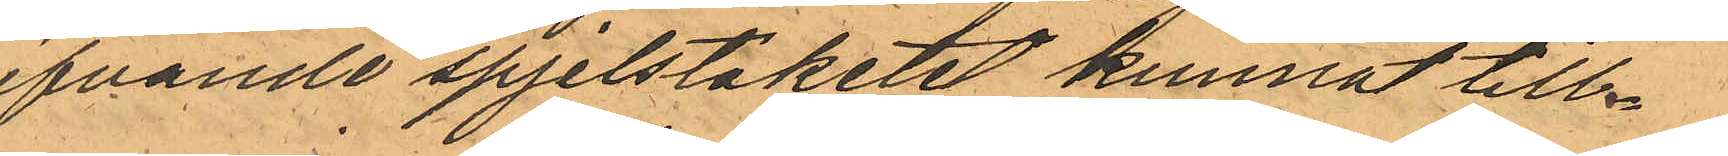gifvande spjelstaketet kunnat till¬
